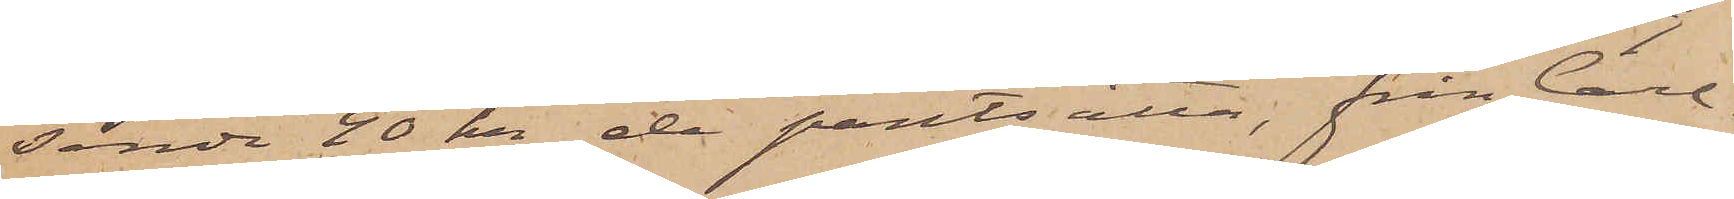sända 40 kr de pantsatta, från Carl¬
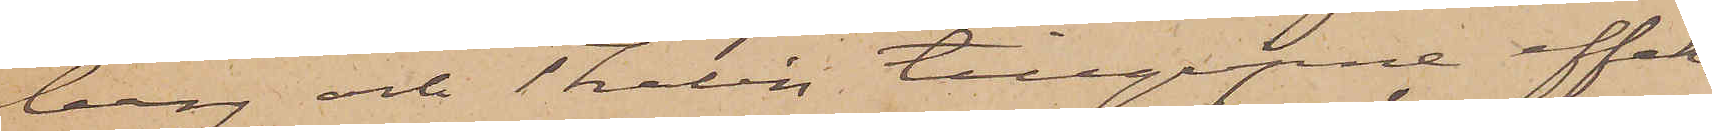berg och Thelin tillgripne effek¬
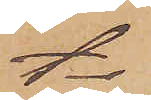ter
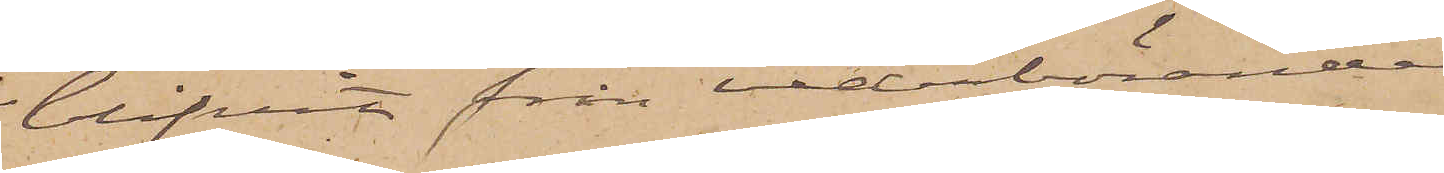blifvit från vederbörande
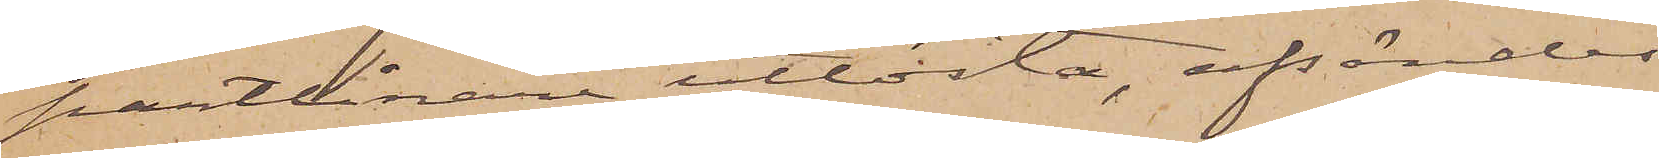pantlånare utlösta, afsändes
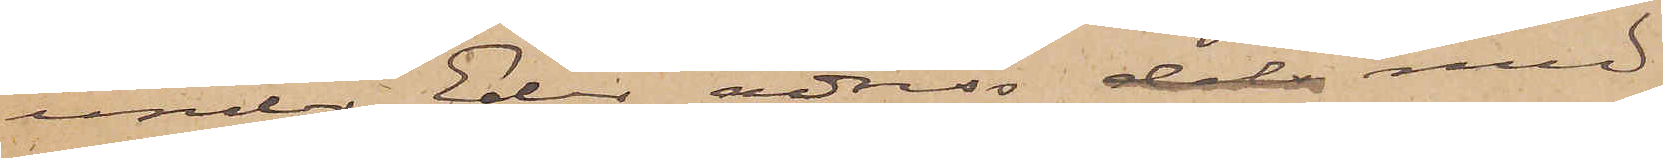under Eder adress dels med
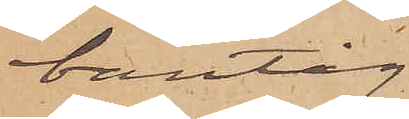bantåg
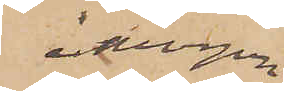i morgon
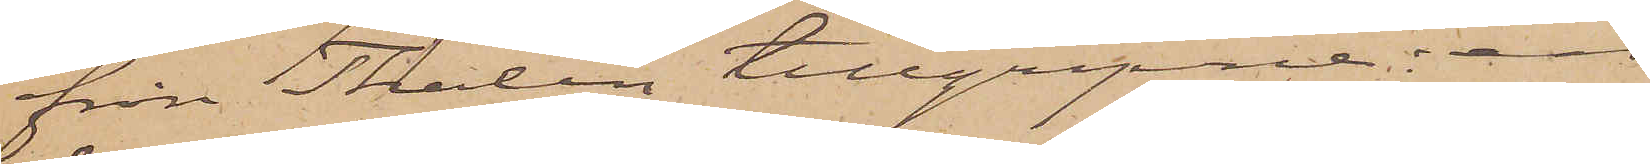från Thalén tillgripne en
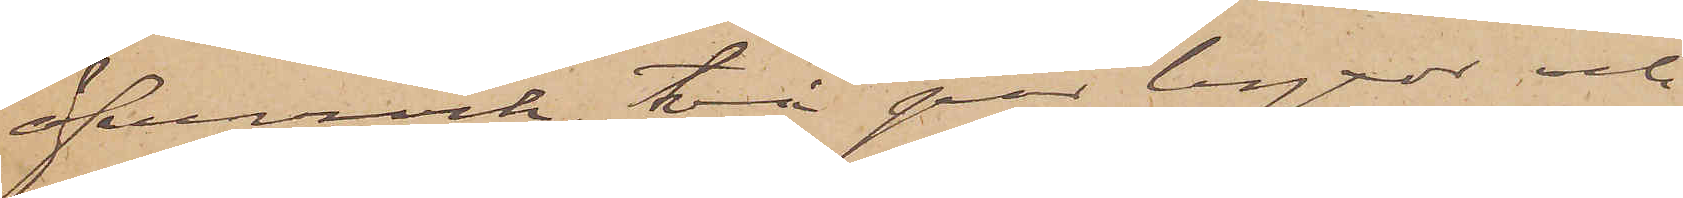öfverrock, två par byxor och
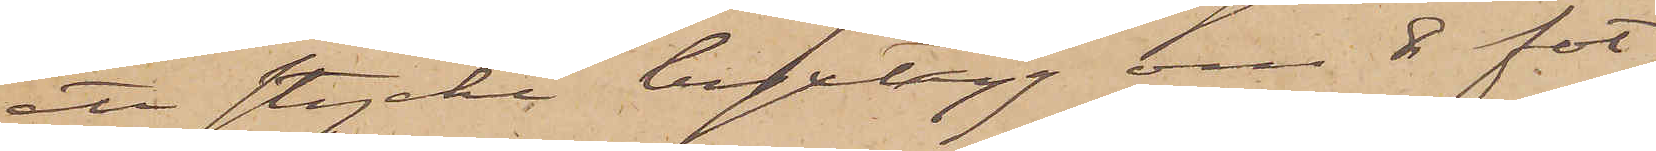ett stycke byxtyg om 8 fot
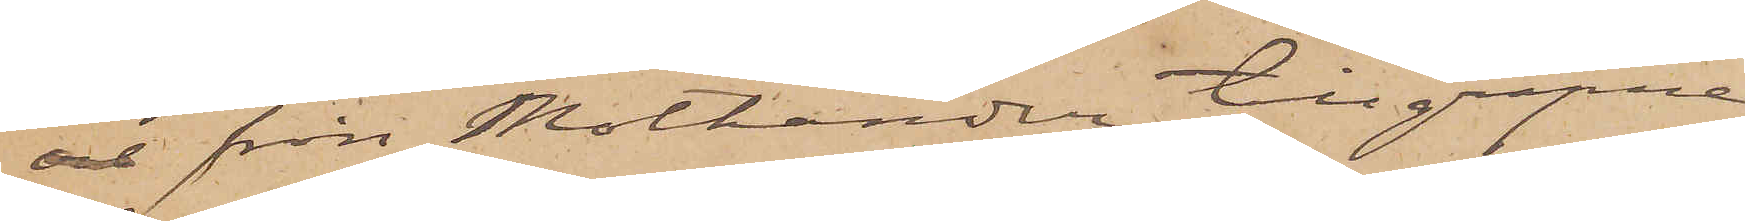och från Mothander tillgripne
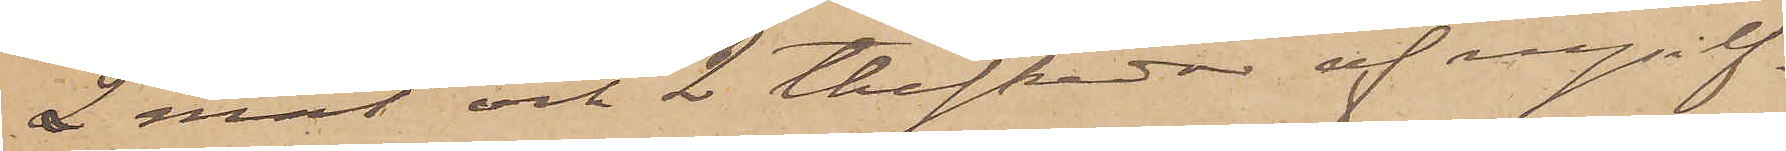2 mat och 2 theskedar af nysilf¬
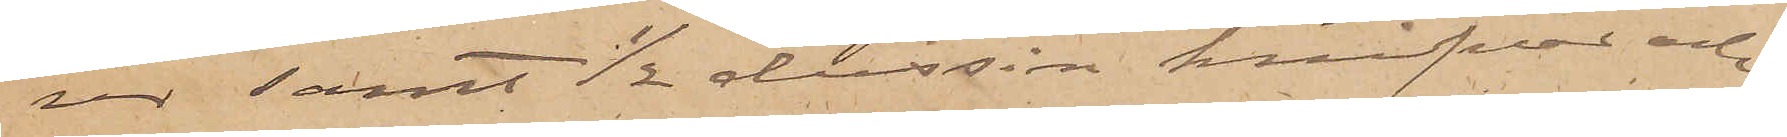ver; samt 1/2 dussin knifvar och
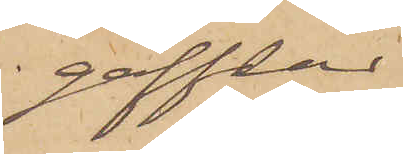gafflar
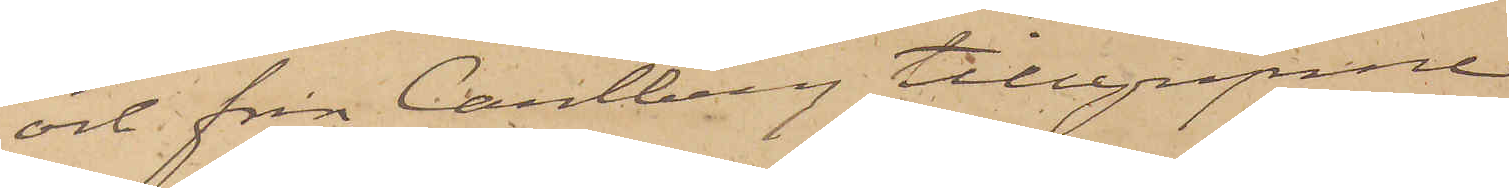och från Carlberg tillgripne
